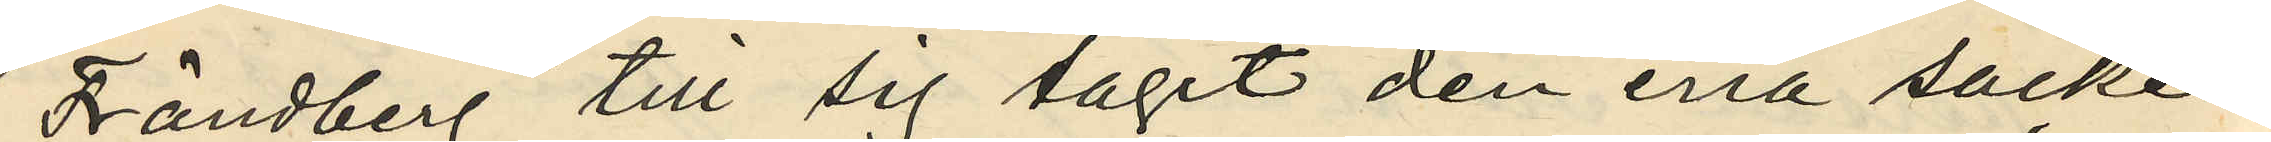Frändberg till sig tagit den ena säcken
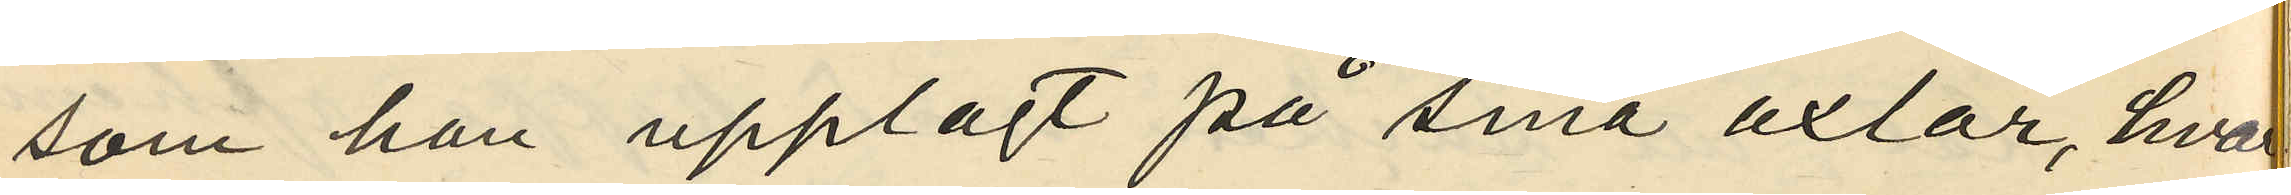som han upplagt på sina axlar, hvar
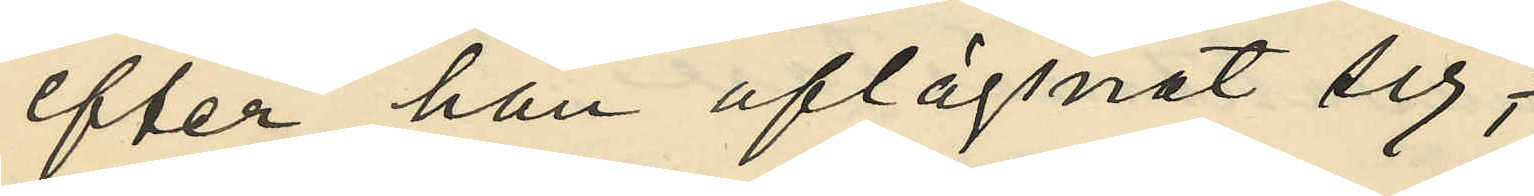efter han aflägsnat sig,
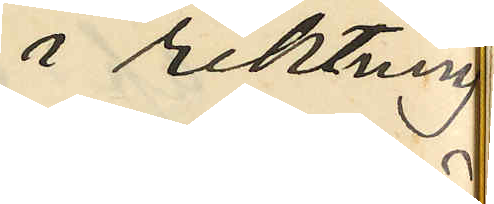i riktning
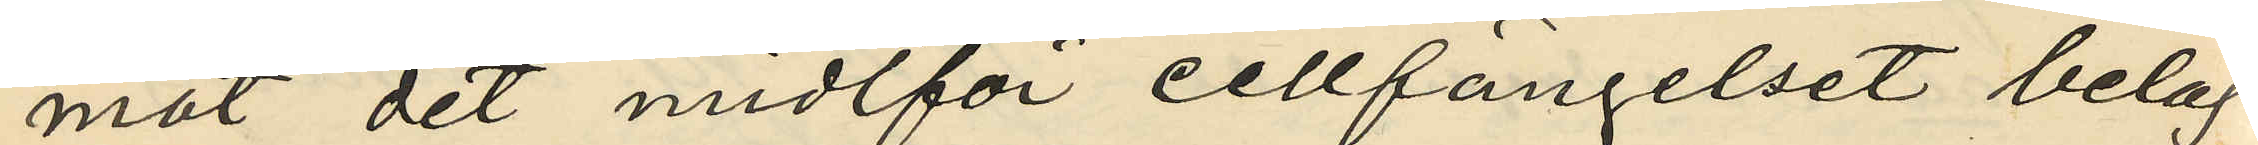mot det midtför cellfängelset beläg
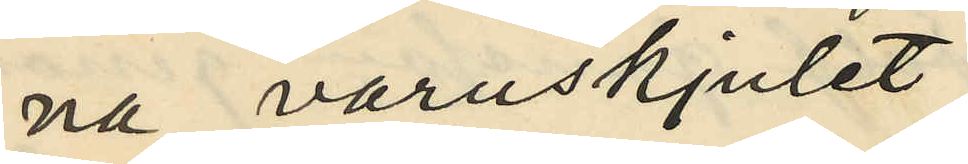na varuskjulet
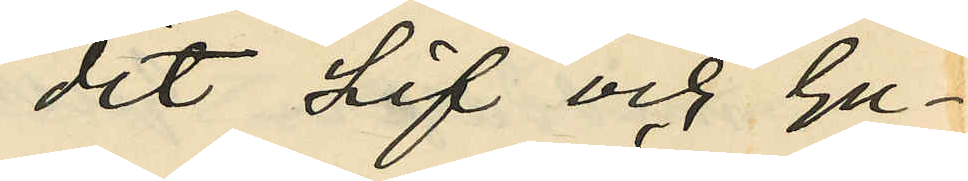dit Lif och Gu¬
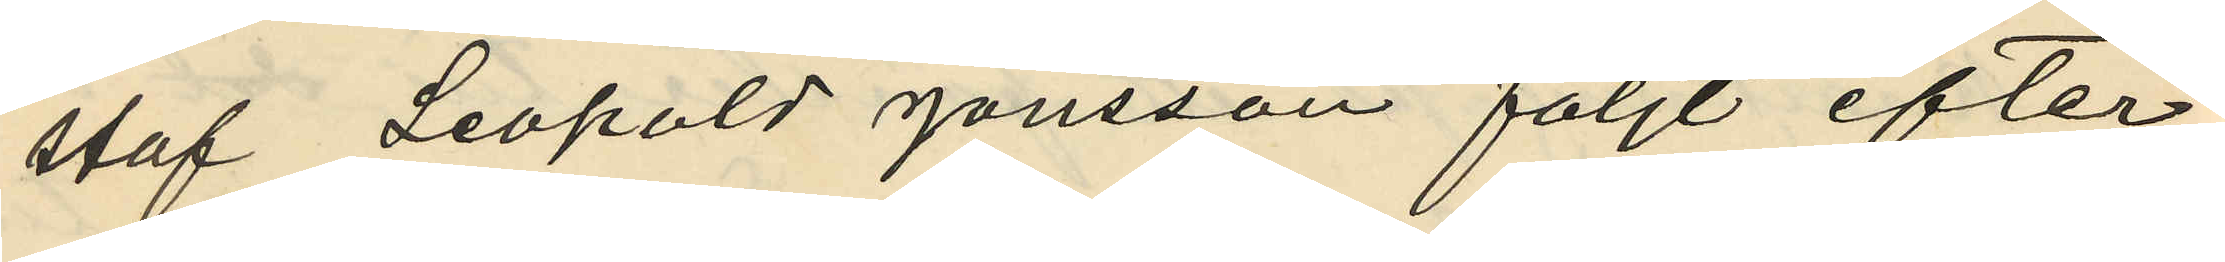staf Leopold Jönsson följt efter;
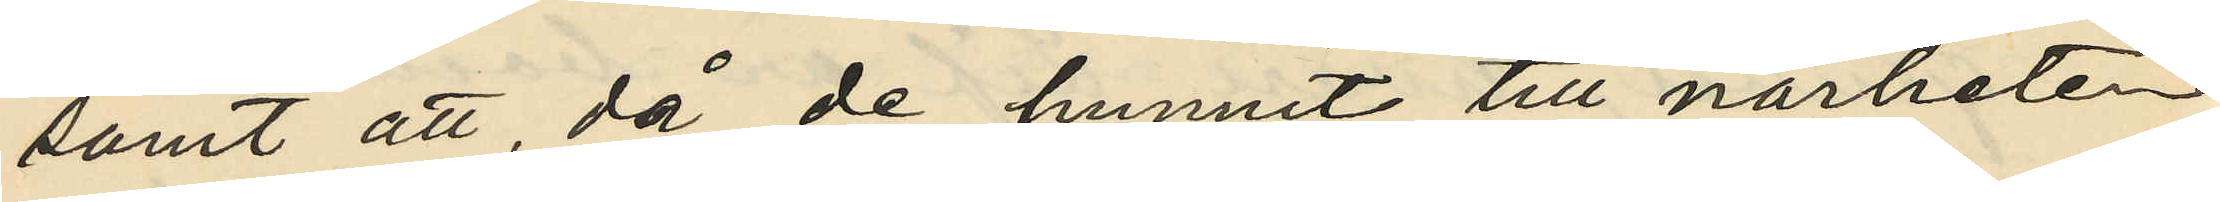samt att, då de hunnit till närheten
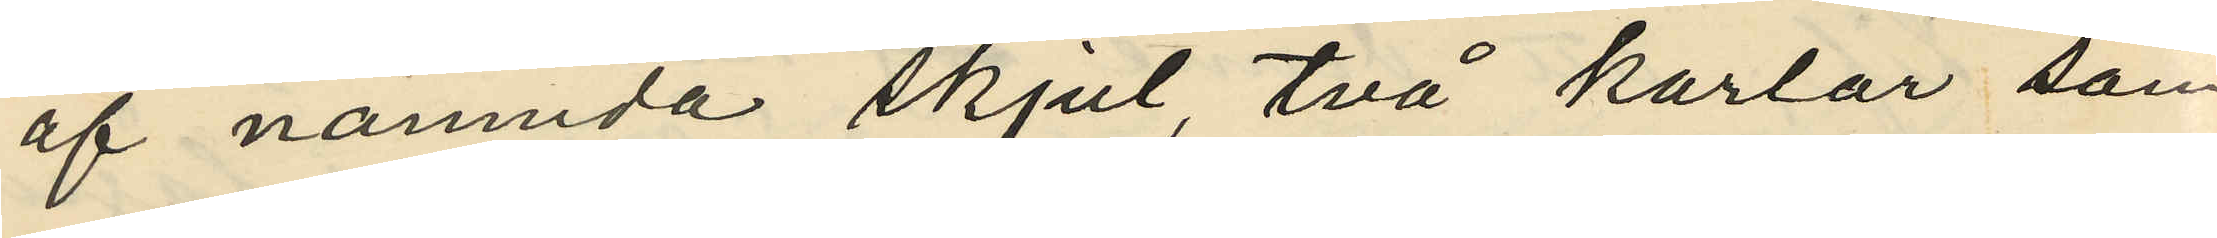af nämnda skjul, två karlar som
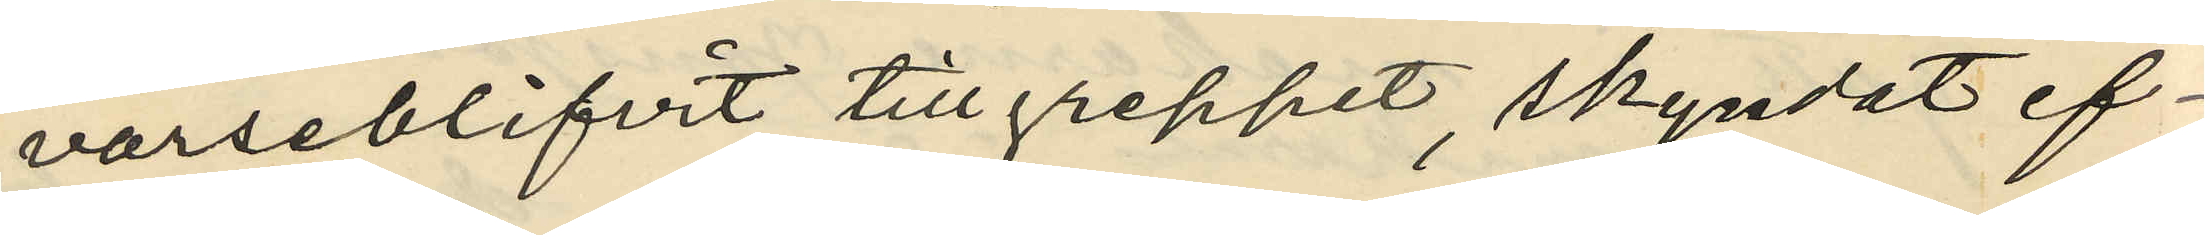varseblifvit tillgreppet, skyndat ef¬
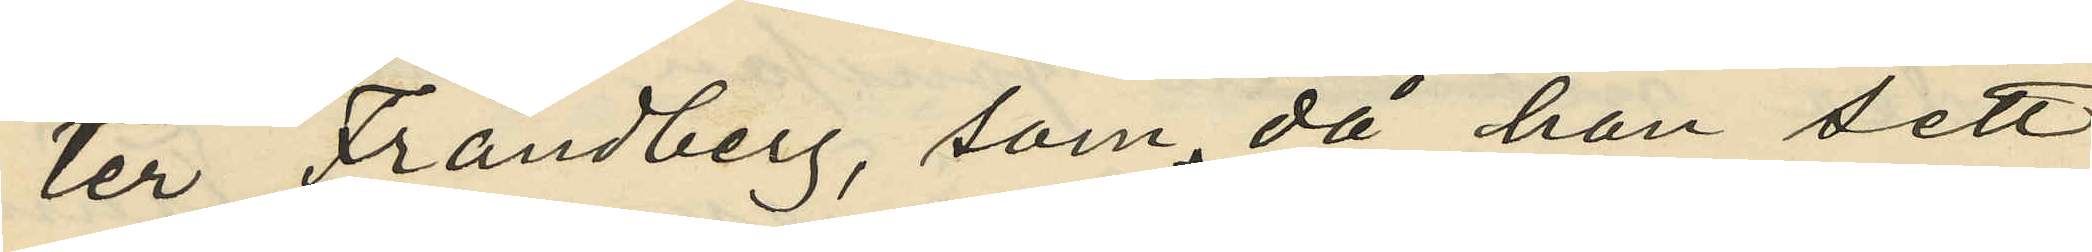ter Frändberg, som, då han sett
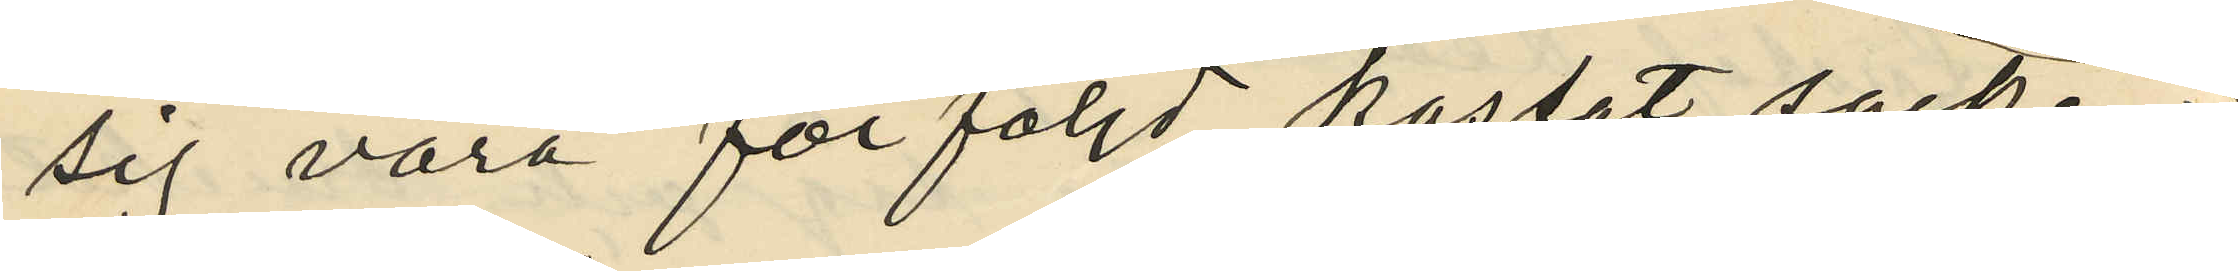sig vara förföljd kastat säcken
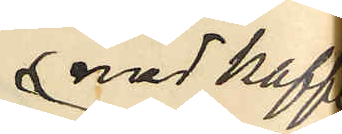med kaffe
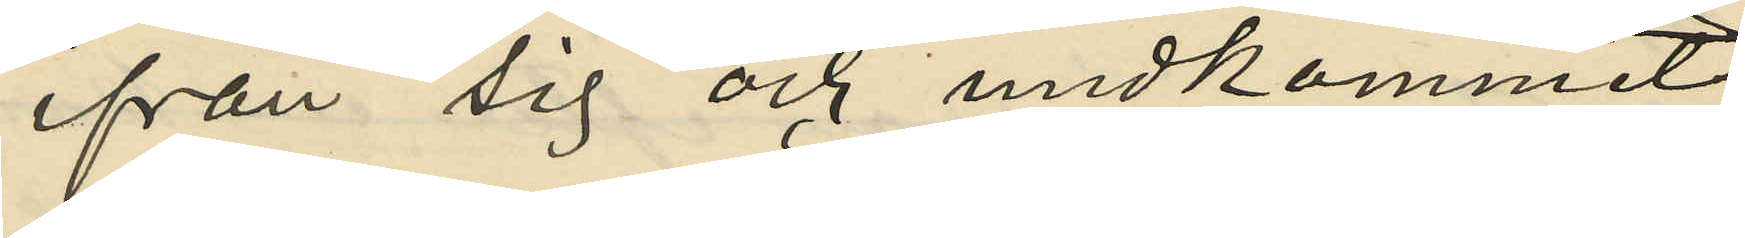ifrån sig och undkommit;
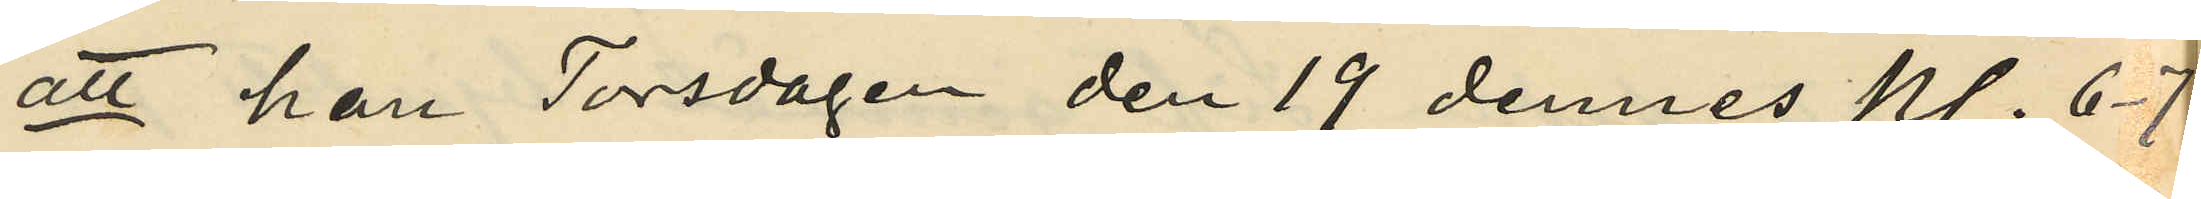att han Torsdagen den 19 dennes kl. 6-7
